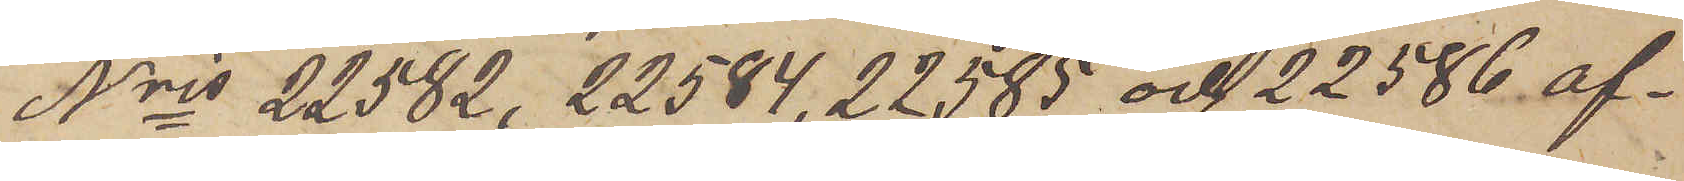Nris 22582, 22584, 22585 och 22586 af¬
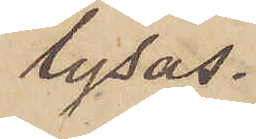lysas.
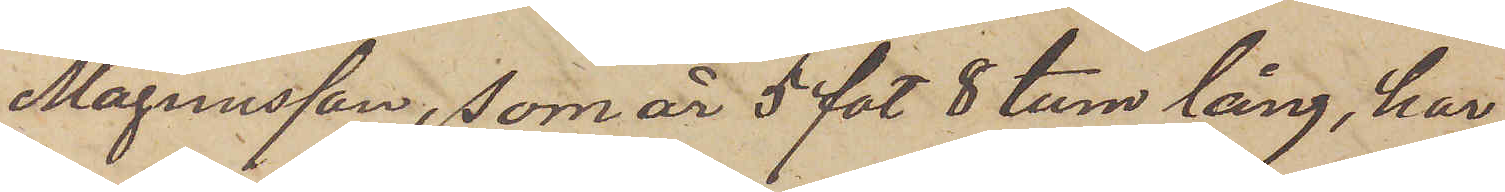Magnusson, som är 5 fot 8 tum lång, har
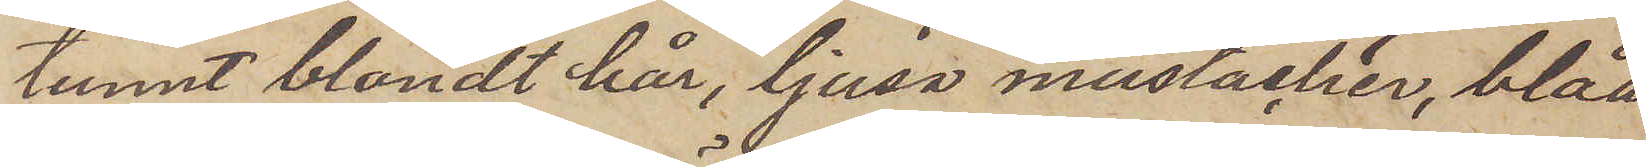tunnt blondt hår, ljusa mustacher, blåa
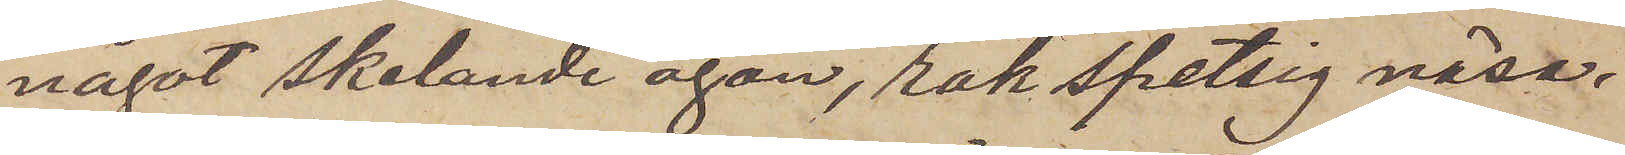något skelande ögon, rak spetsig näsa,
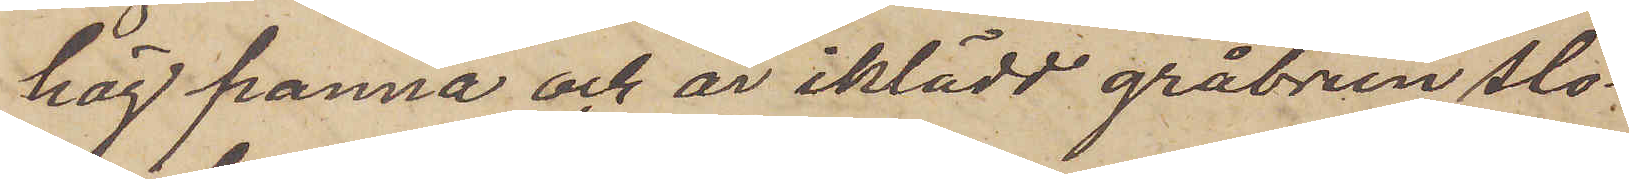hög panna och är iklädd gråbrun slo¬
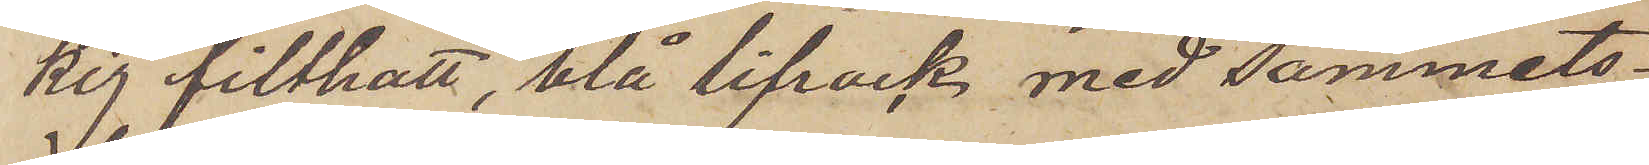kig filthatt, blå lifrock med sammets¬
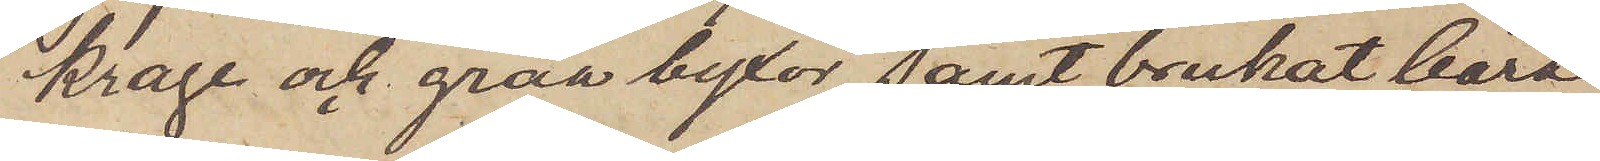krage och gråa byxor, samt brukat bära
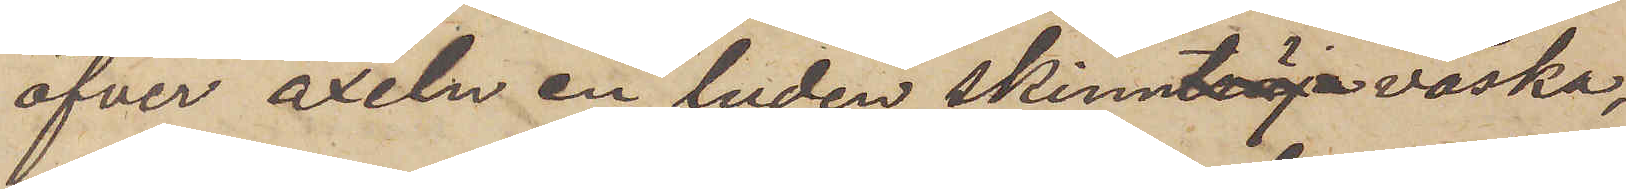öfver axeln en luden skinntröja väska,
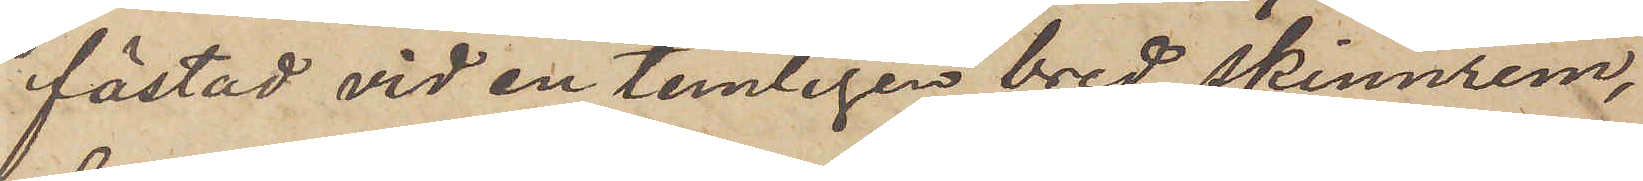fästad vid en temligen bred skinnrem,
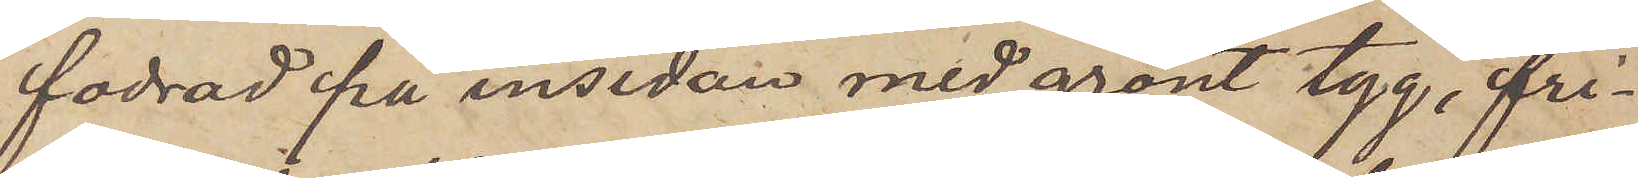fodrad på insidan med grönt tyg, fri¬
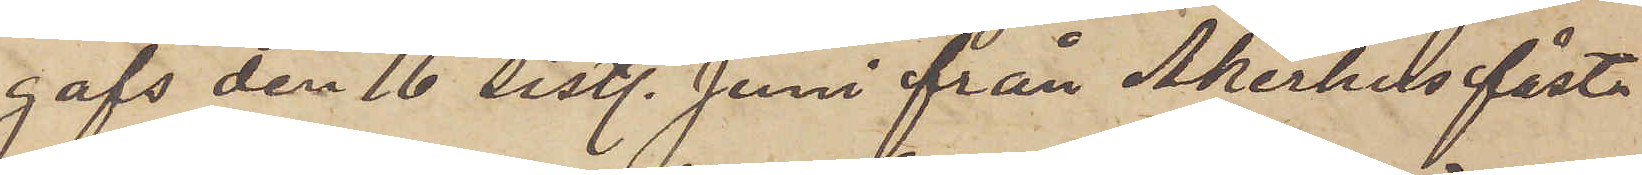gafs den 16 sistl. Juni från Åkerhus fäst¬
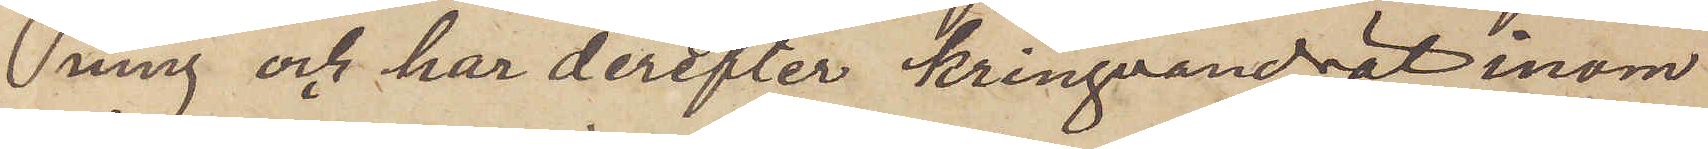ning och har derefter kringvandrat inom
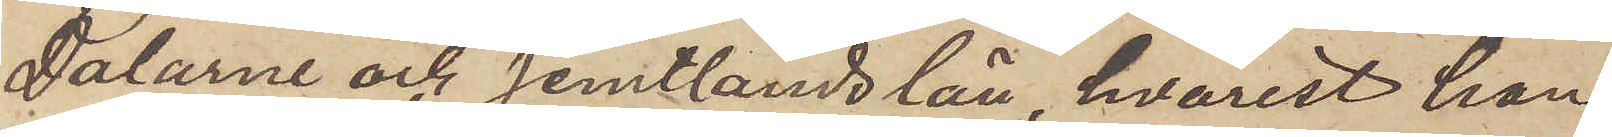Dalarne och Jemtlands län, hvarest han
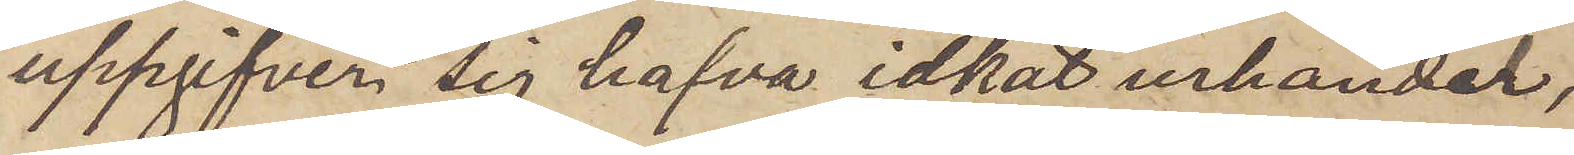uppgifver sig hafva idkat urhandel,
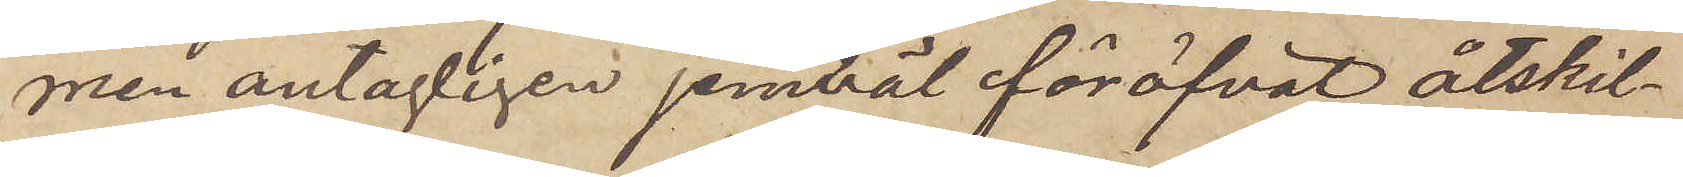men antagligen jemväl föröfvat åtskil¬
